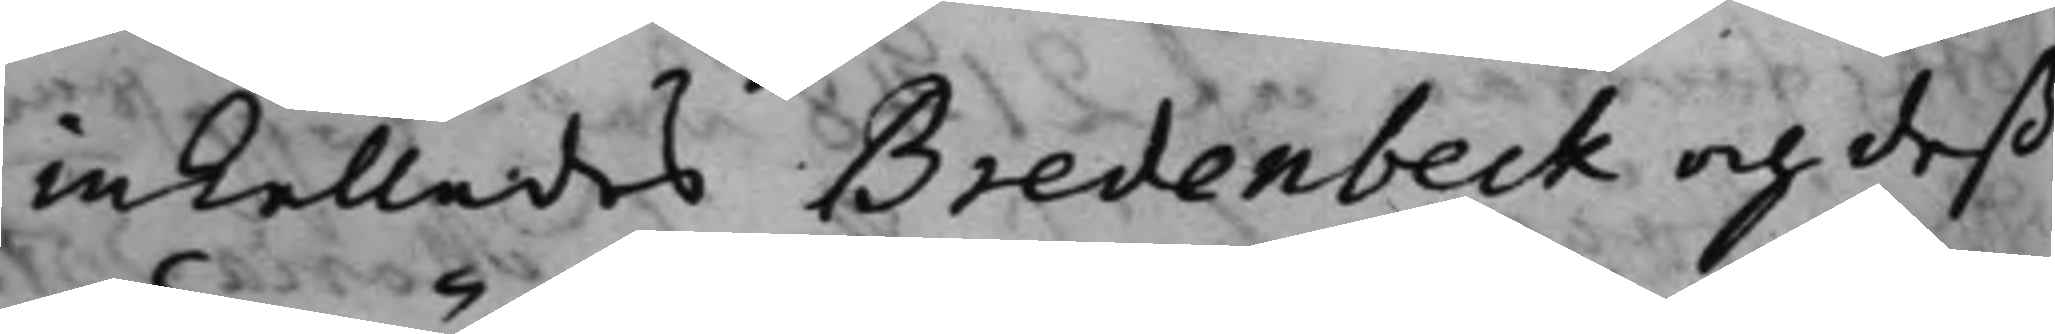inkallades Bredenbeck och deß
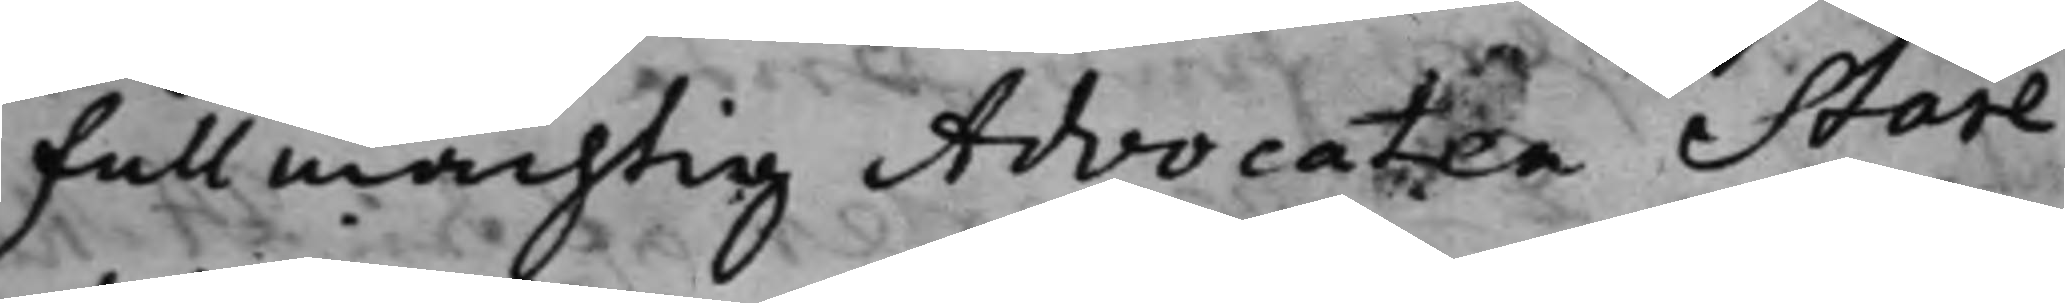Fullmächtig Advocaten Stare
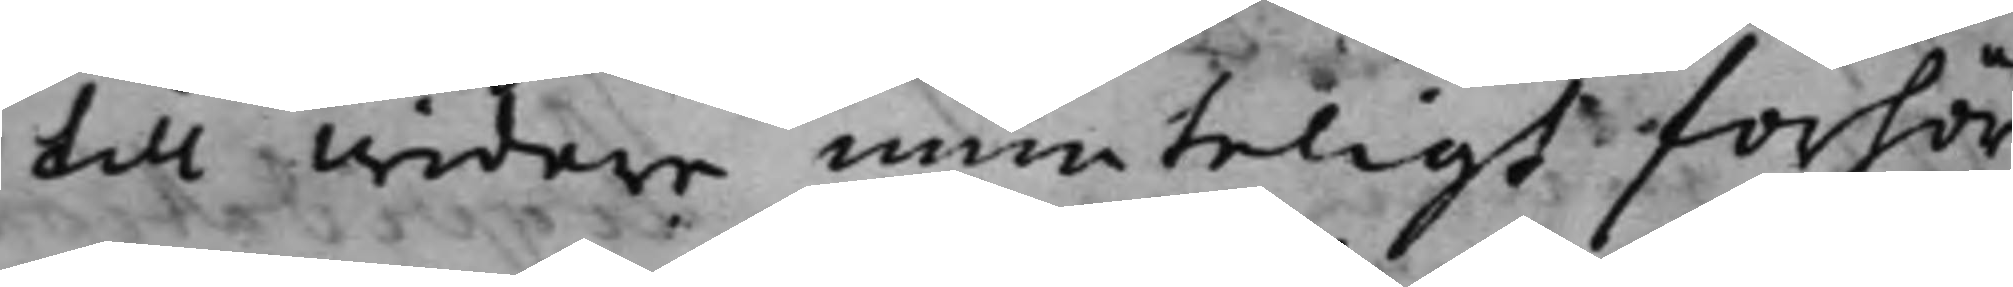till widare munteligt förhör
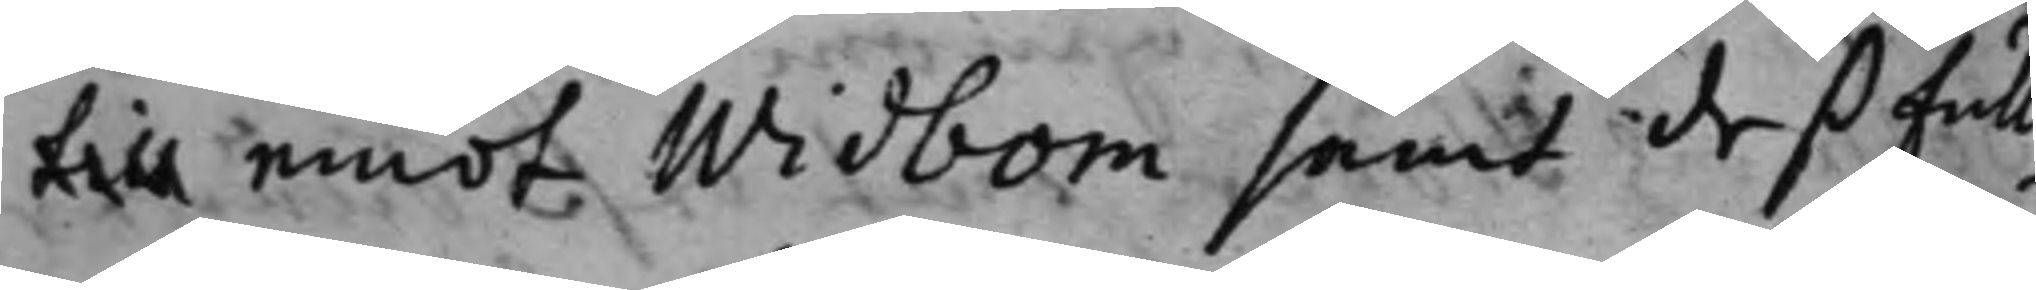till emot Widbom samt deß full¬
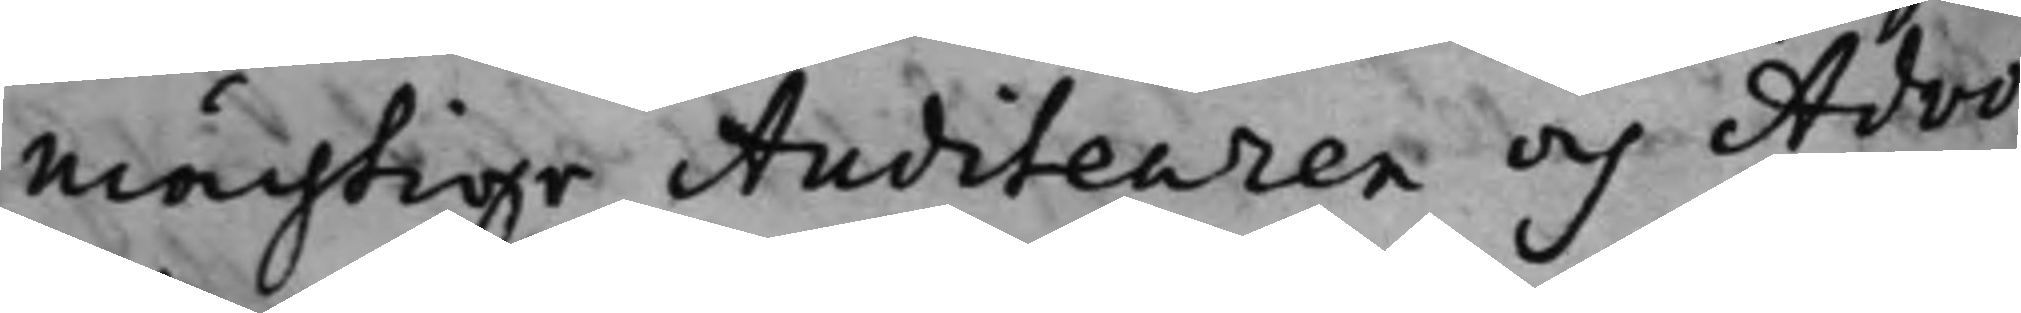mächtige Auditeuren och Advo¬
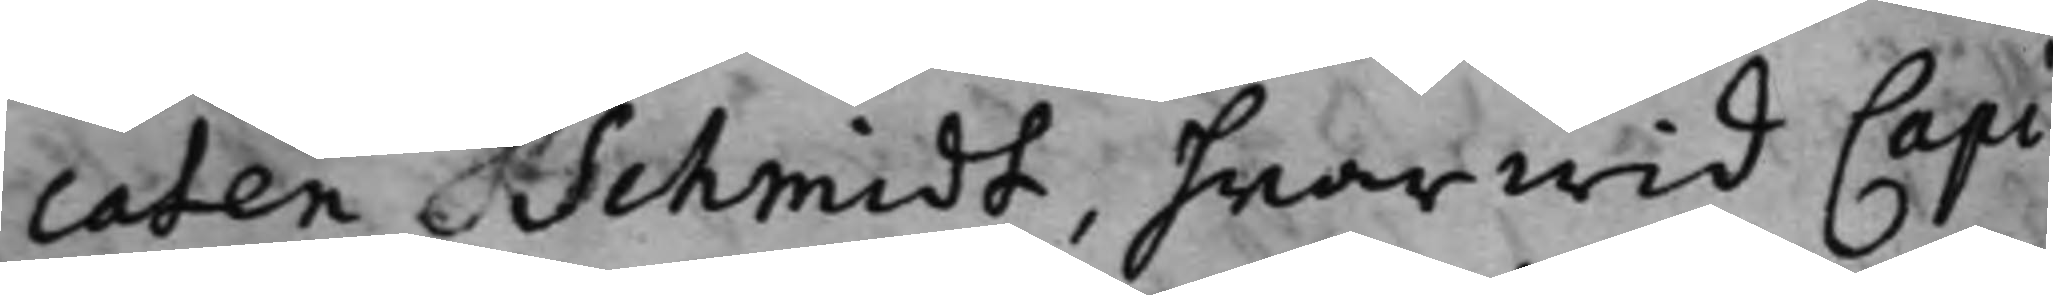caten Schmidt, hwarwid Capi¬
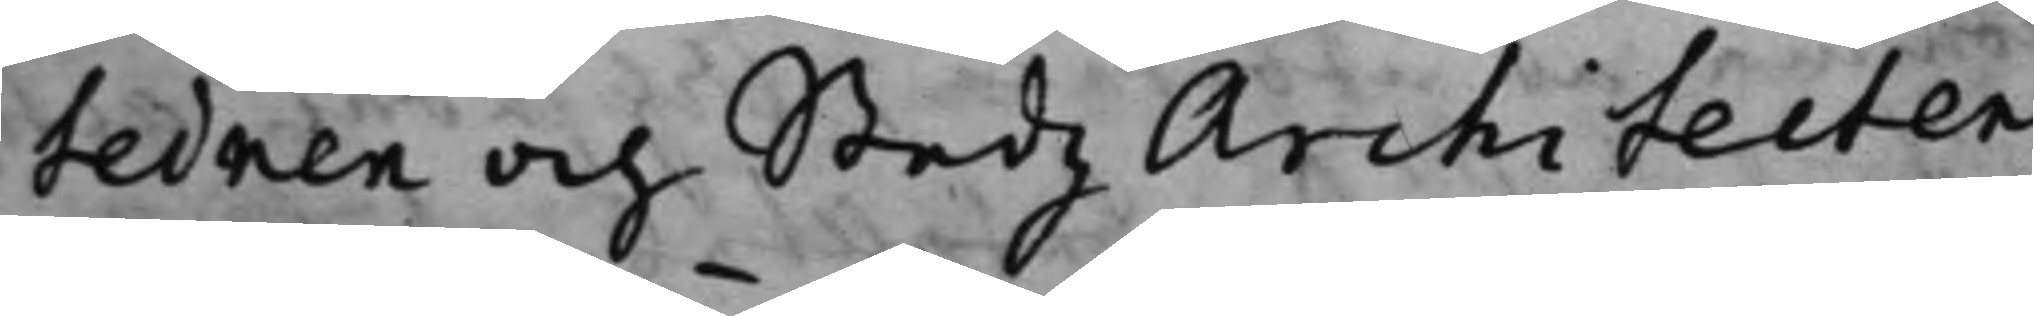teinen och Stadz Architeten
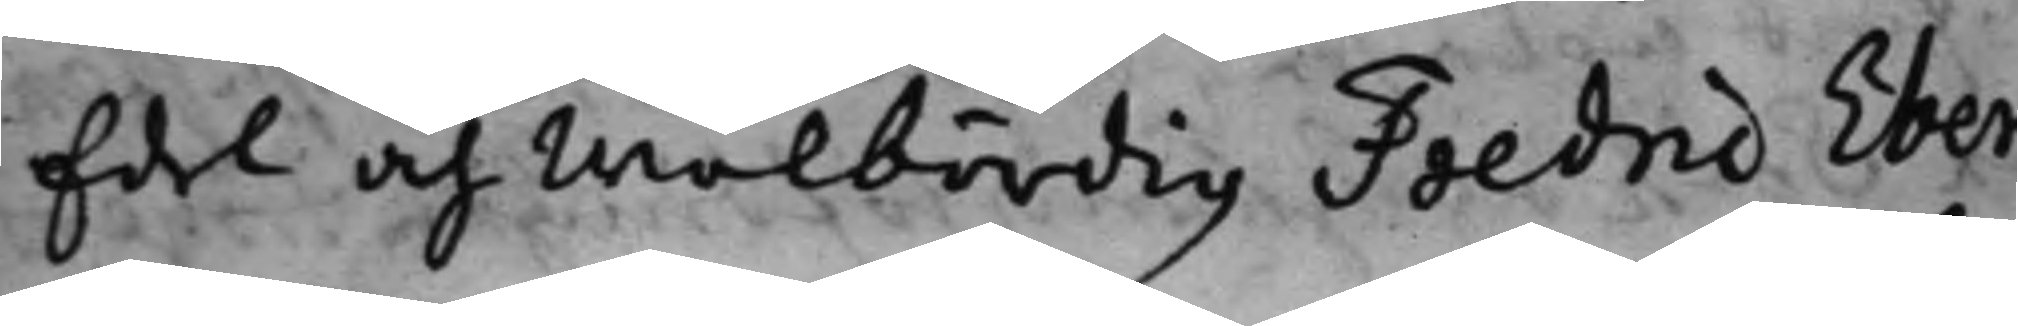Edel och Wälbördig Fredric Eber¬
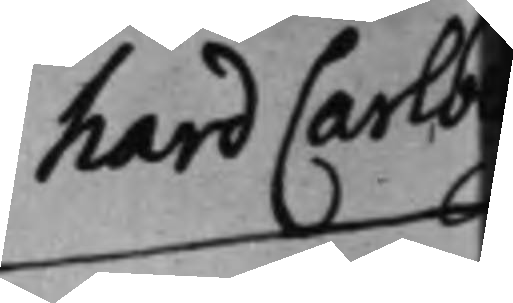hard Carlberg
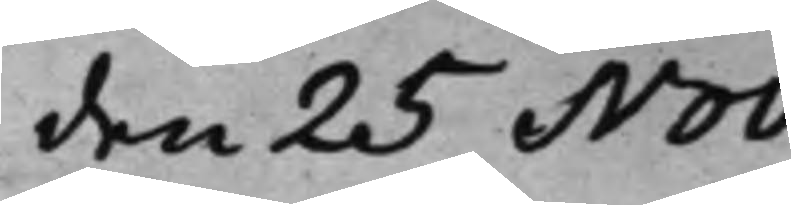den 25 Nov.
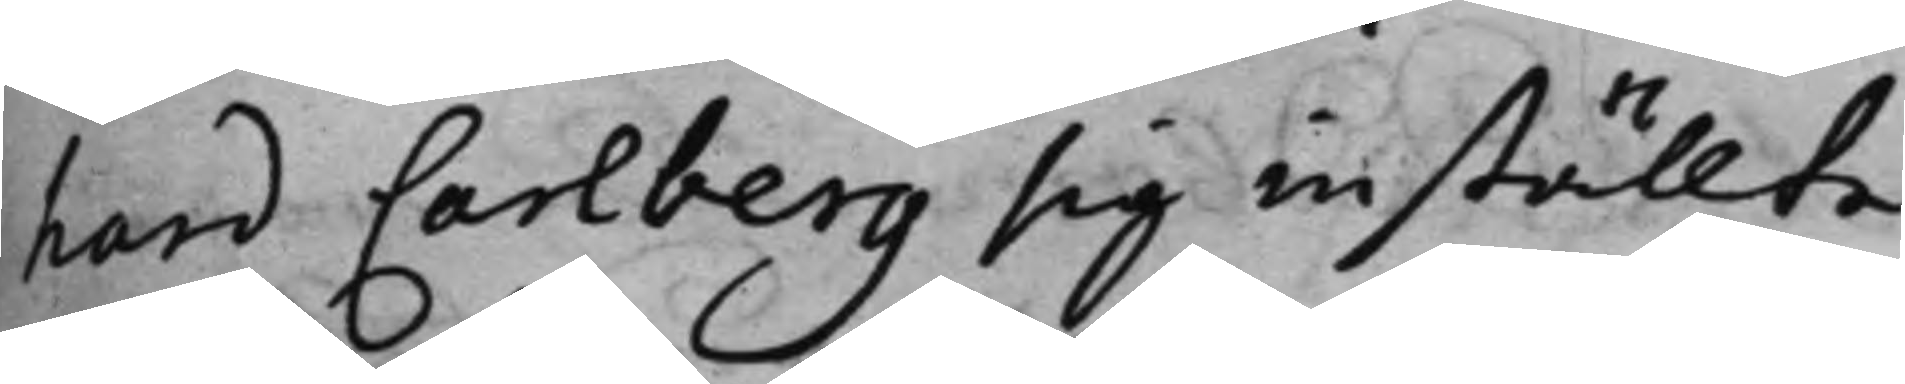hard Carlberg sig inställte,
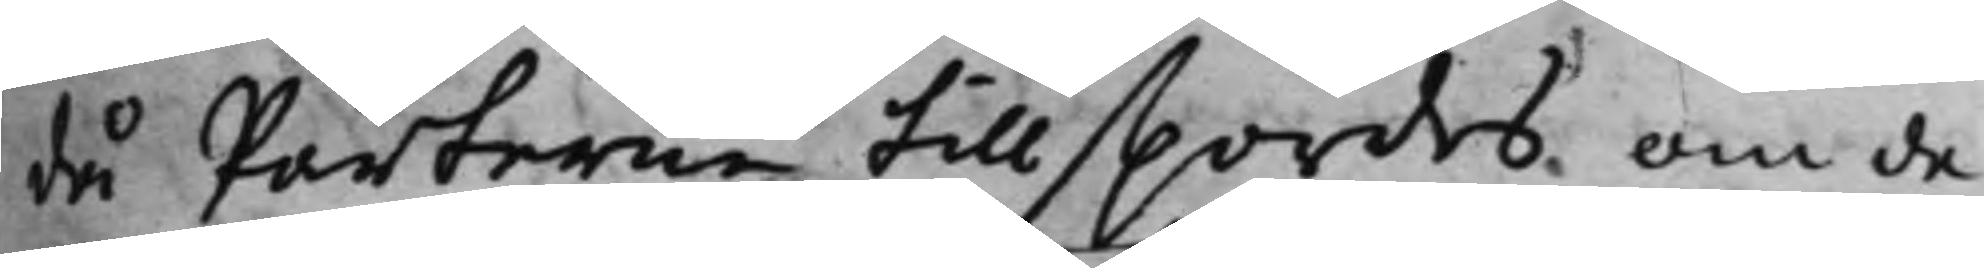då Parterne tillspordes, om de
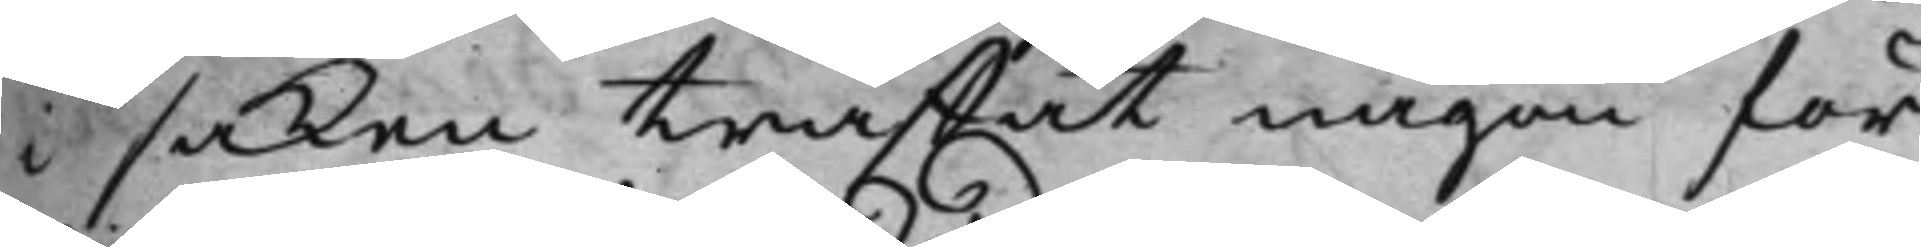i saken träffat någon för¬
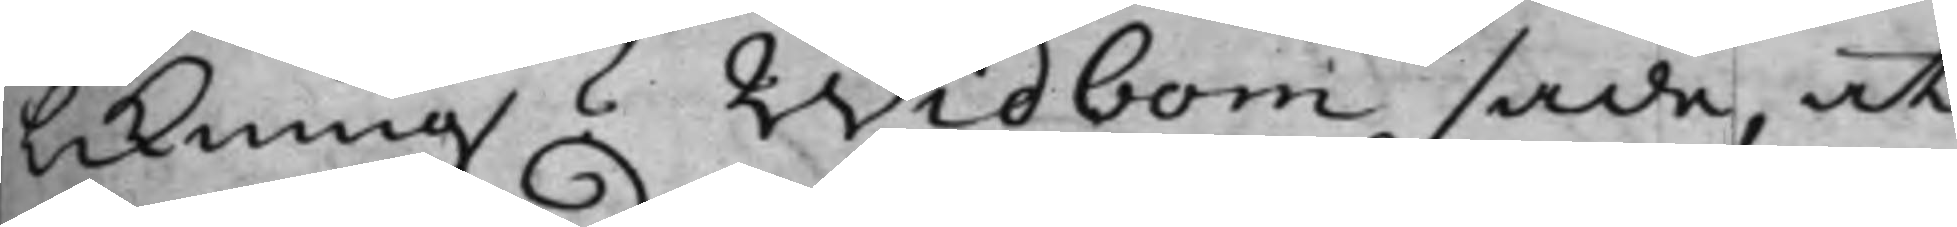likning? Widbom sade, at
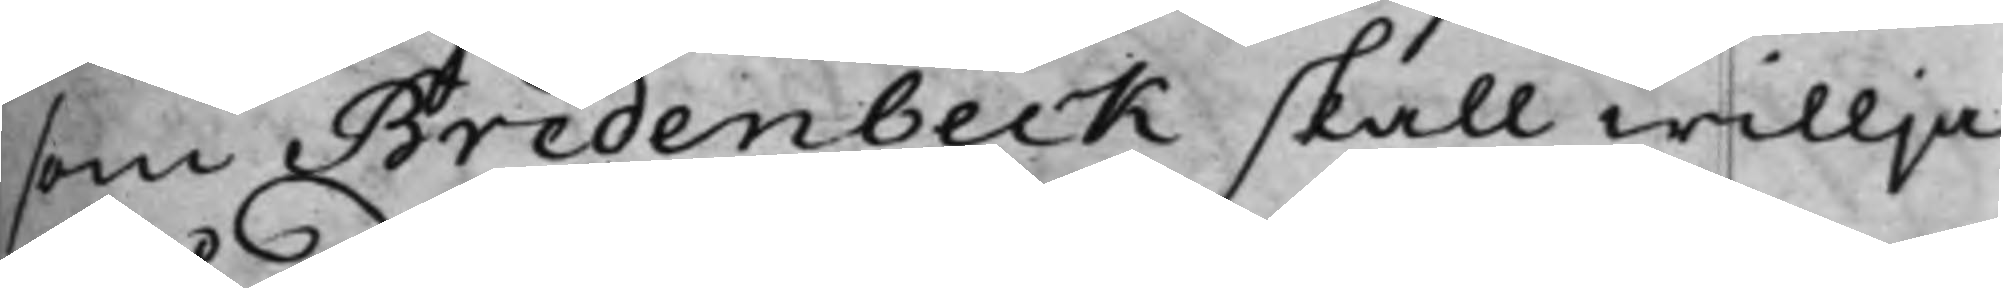som Bredenbeck skall willja
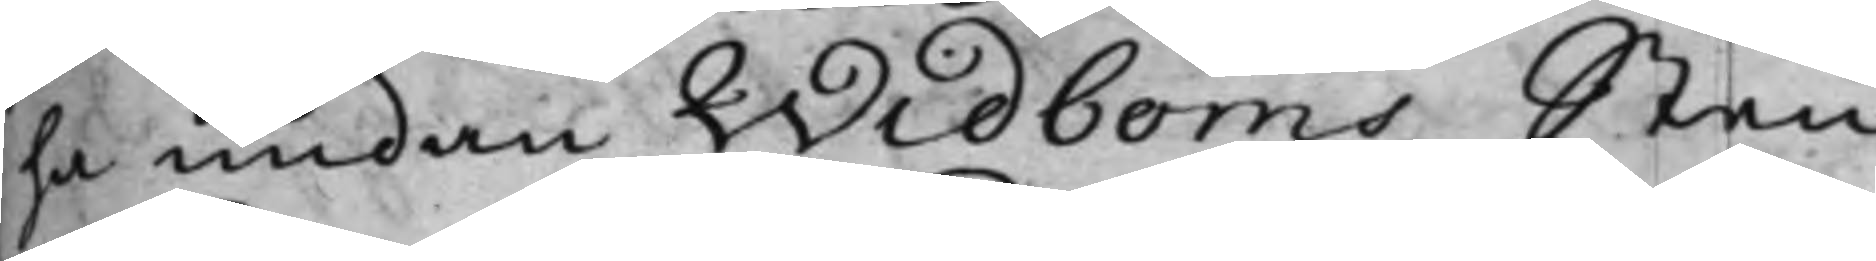ha undan Widboms Sten¬
